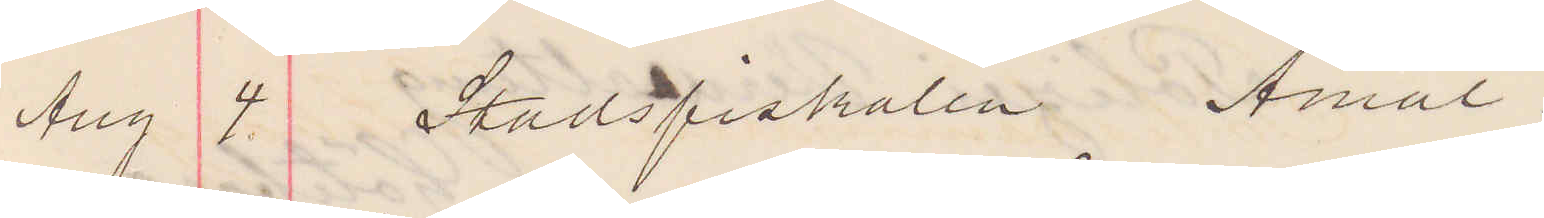Aug 4 Stadsfiskalen Åmål
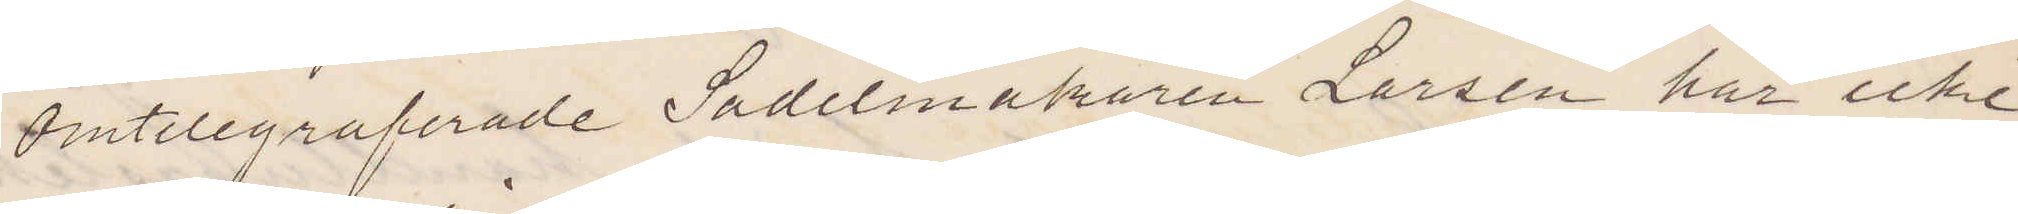Omtelegraferade Sadelmakaren Larsen har icke
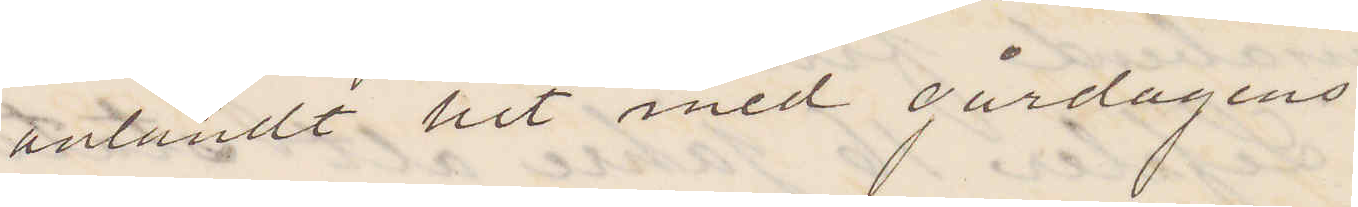anländt hit med gårdagens
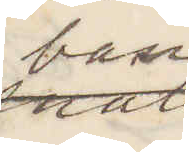ban¬
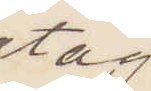tåg.
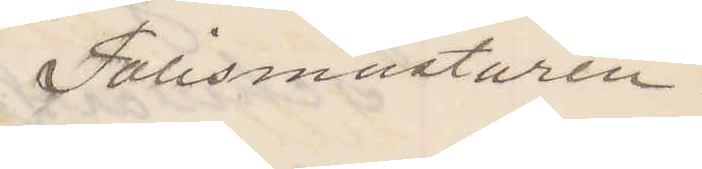Polismästaren
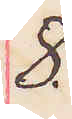8.
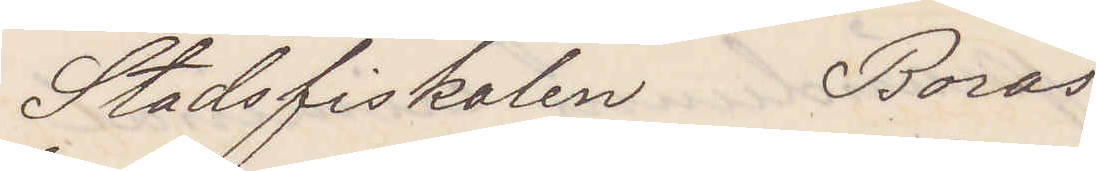Stadsfiskalen Borås
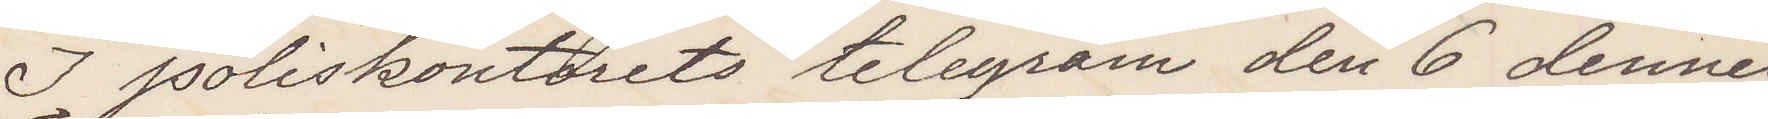I poliskontorets telegram den 6 dennes
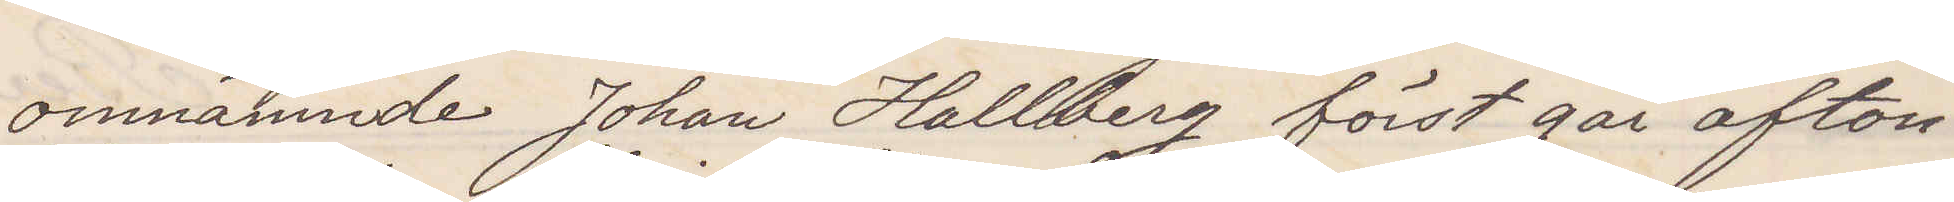omnämnde Johan Hallberg först går afton
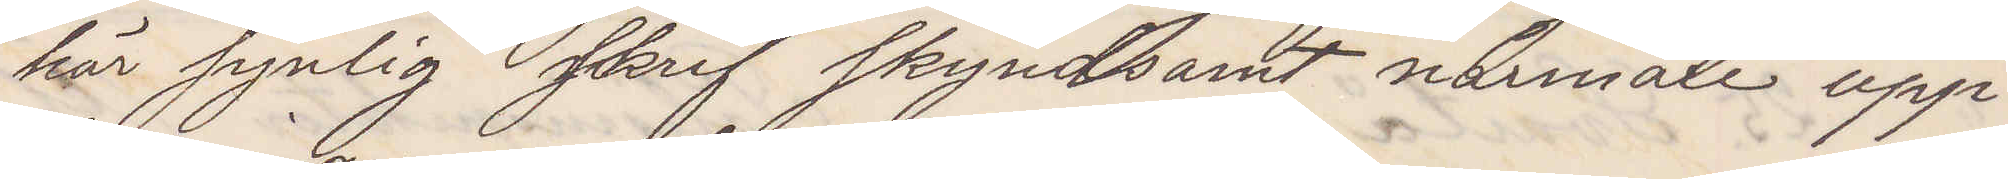här synlig skrif skyndsamt närmare upp¬
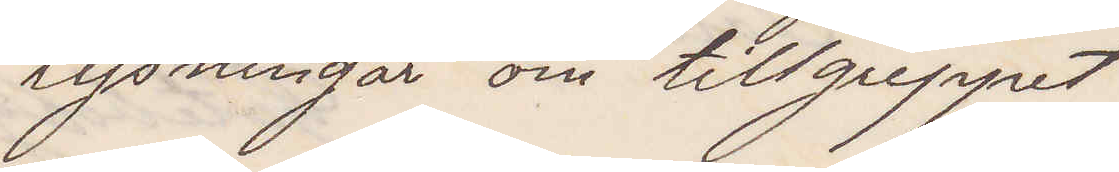lysningar om tillgreppet
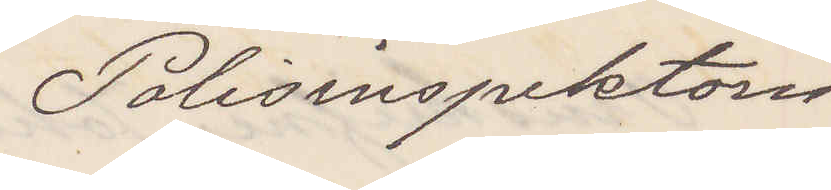Polisinspektorn
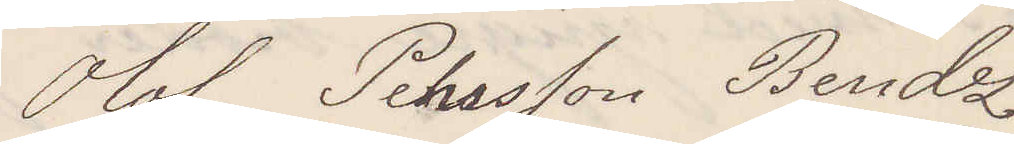Olof Pehrson Bendz
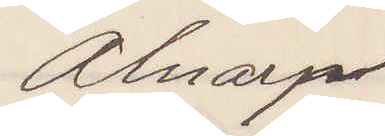Alnarp
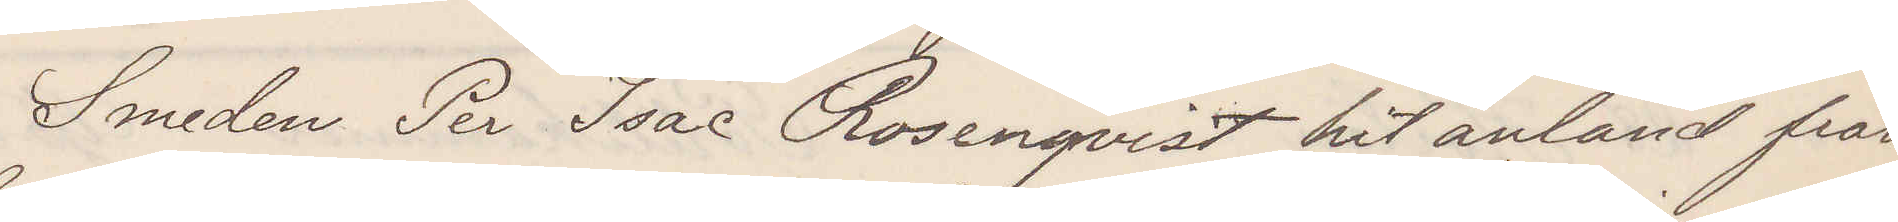Smeden Per Isac Rosenqvist hit anländ från
